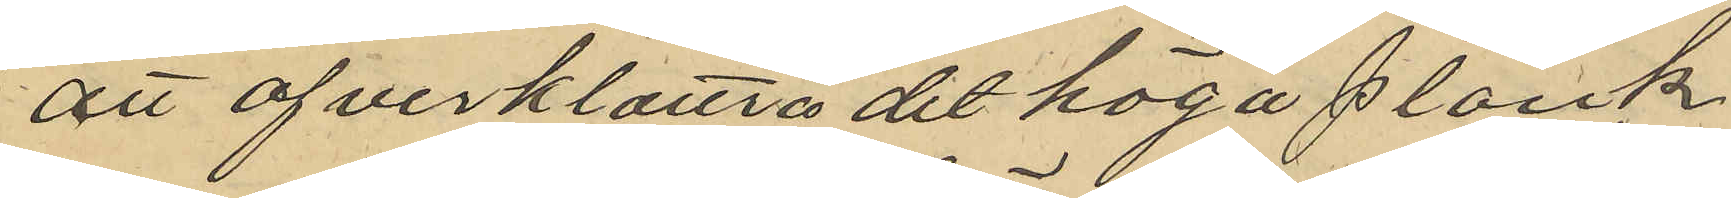att öfverklättra det höga plank
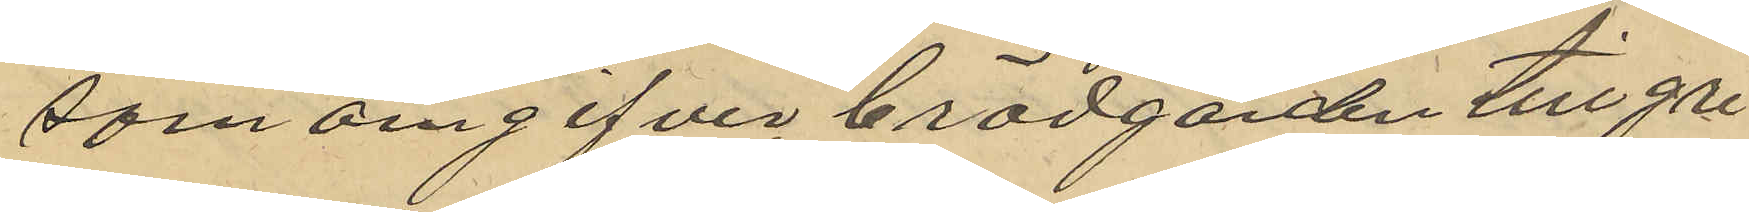som omgifvit brädgården tillgri¬
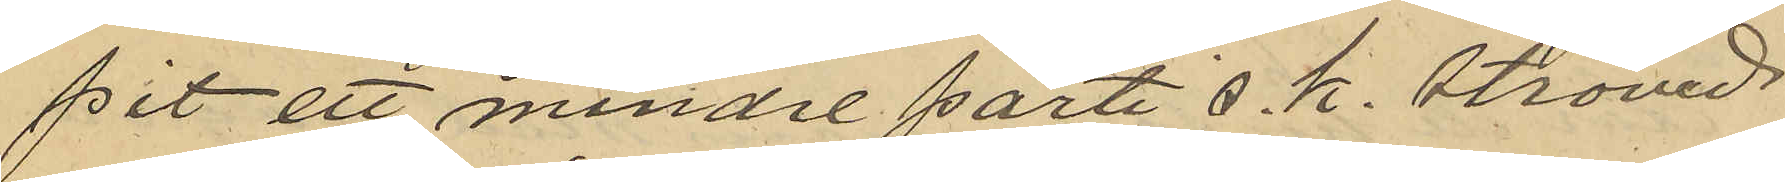pit ett mindre parti s. k. ströved
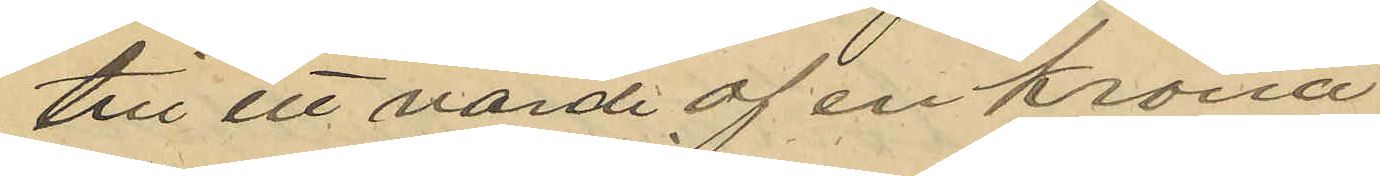till ett värde af en krona
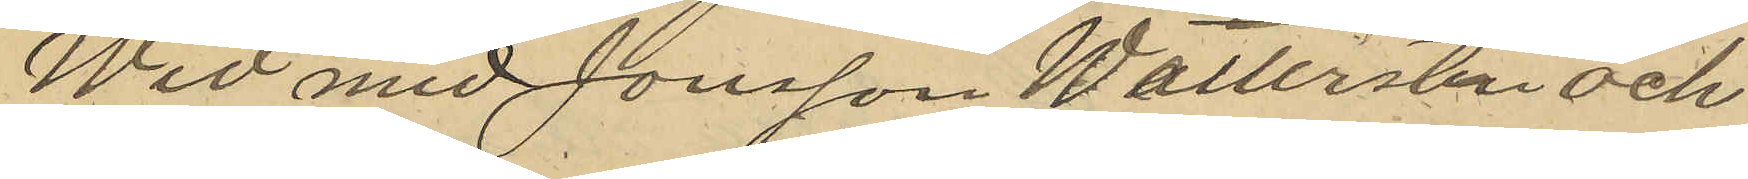Wid med Jonsson Wettersten och
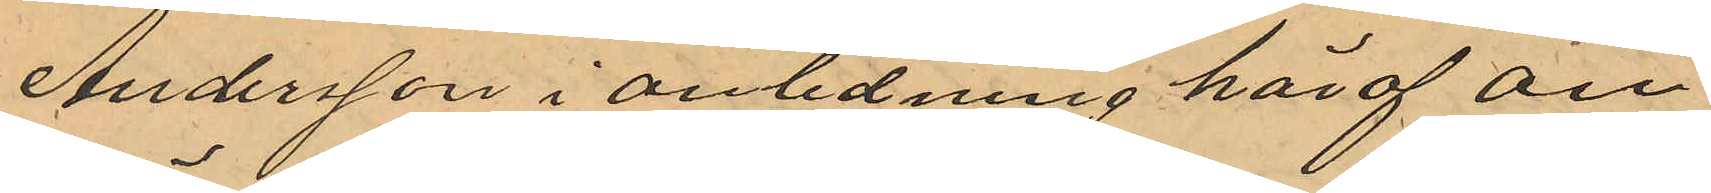Andersson i anledning häraf an¬
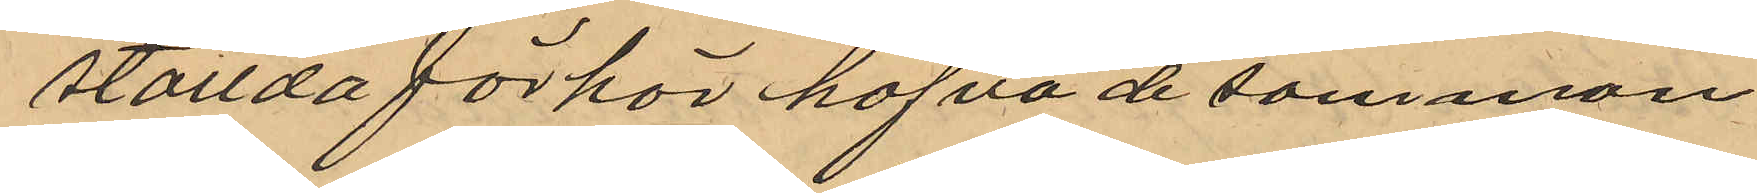ställda förhör hafva de samman
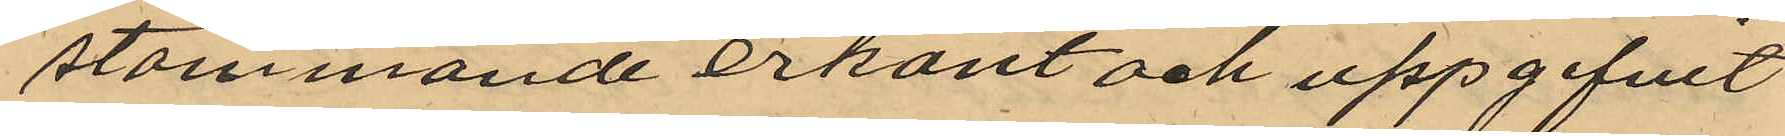stämmande erkänt och uppgifvit
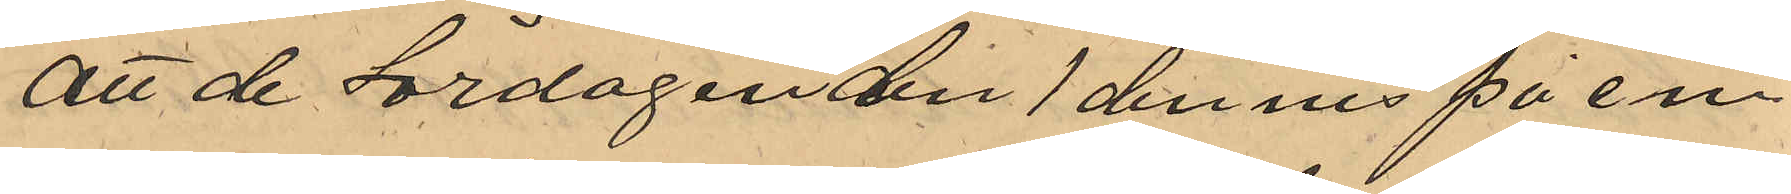att de Lördagen den 1 dennes på em.
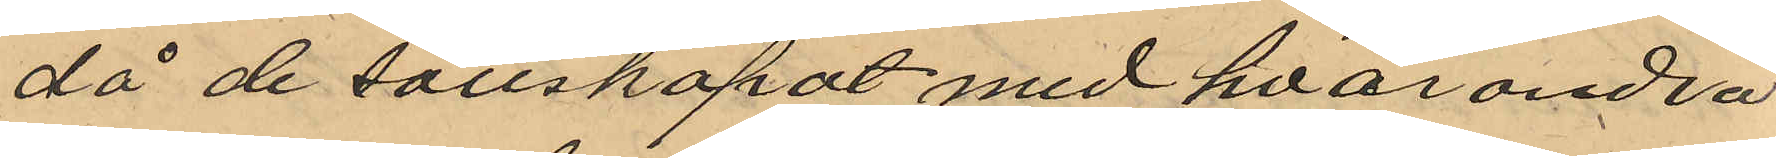då de sällskapat med hvarandra
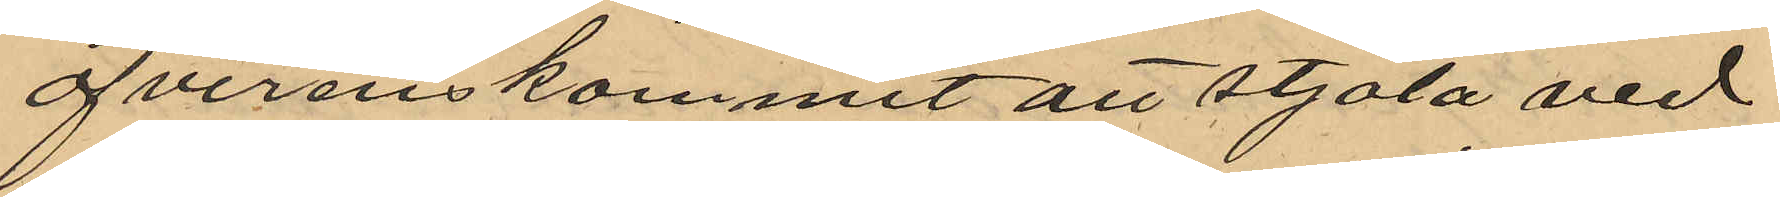öfverenskommit att stjäla ved
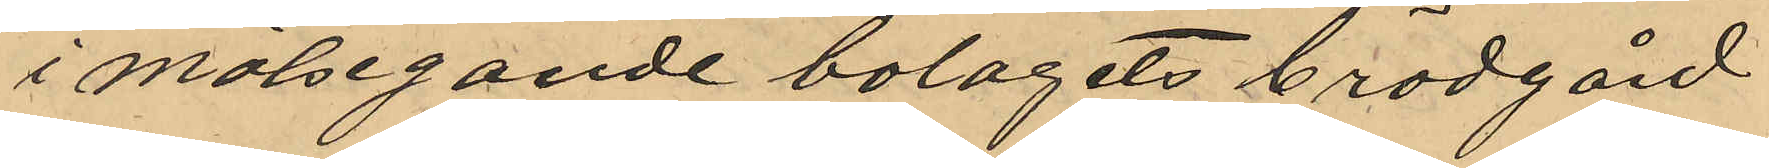i målsegande bolagets brädgård
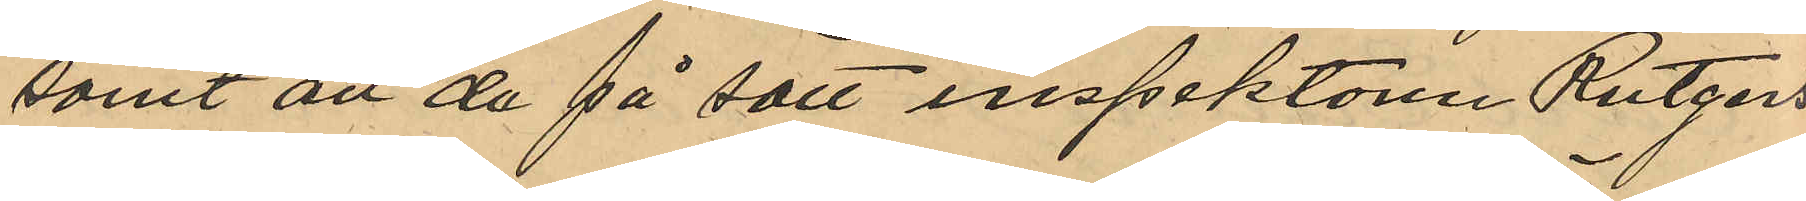samt att de på sätt inspektören Rutgers¬
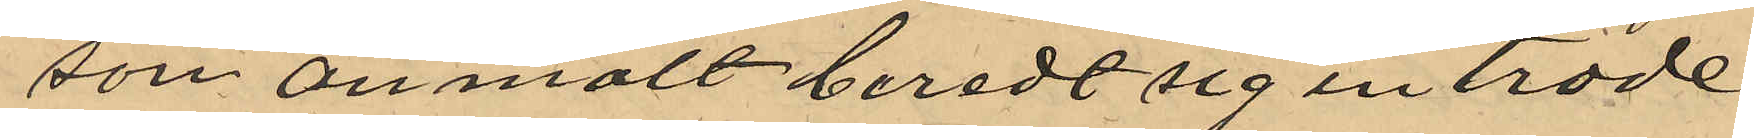son anmält beredt sig inträde
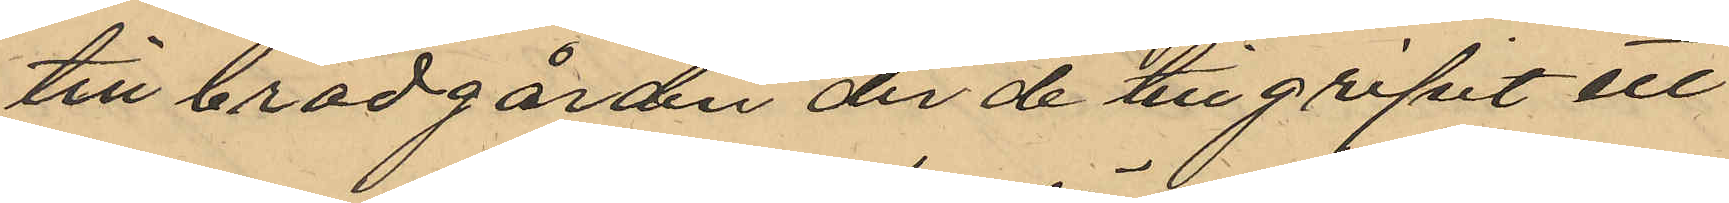till brädgården der de tillgripit ett
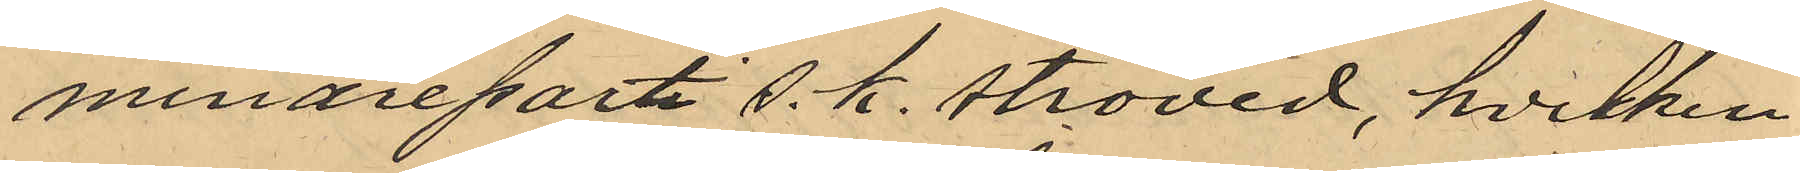mindre parti s. k. ströved, hvilken
